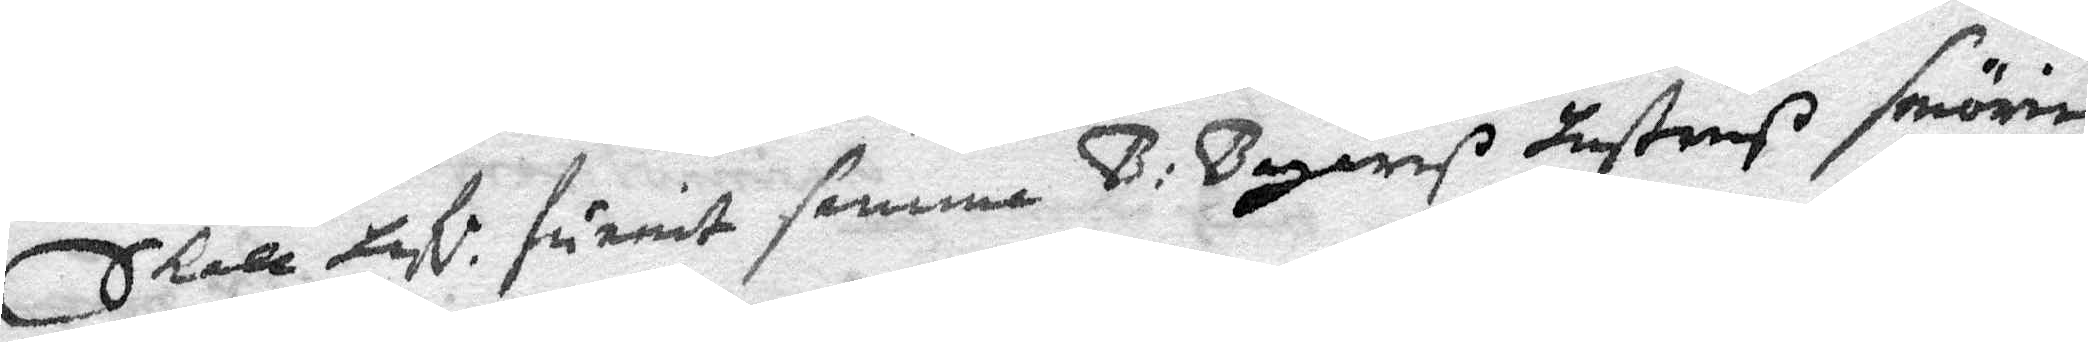skall hafe. furnit henne B: Bagareß hustruß smörie¬
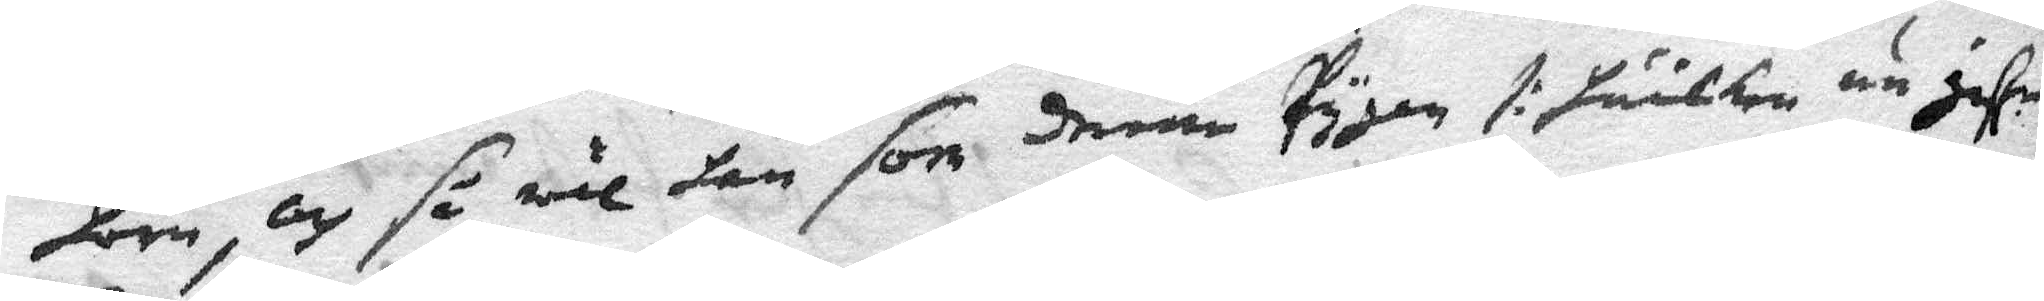horn, och så wäl hon som denne Pygan /: hwilken nu gife
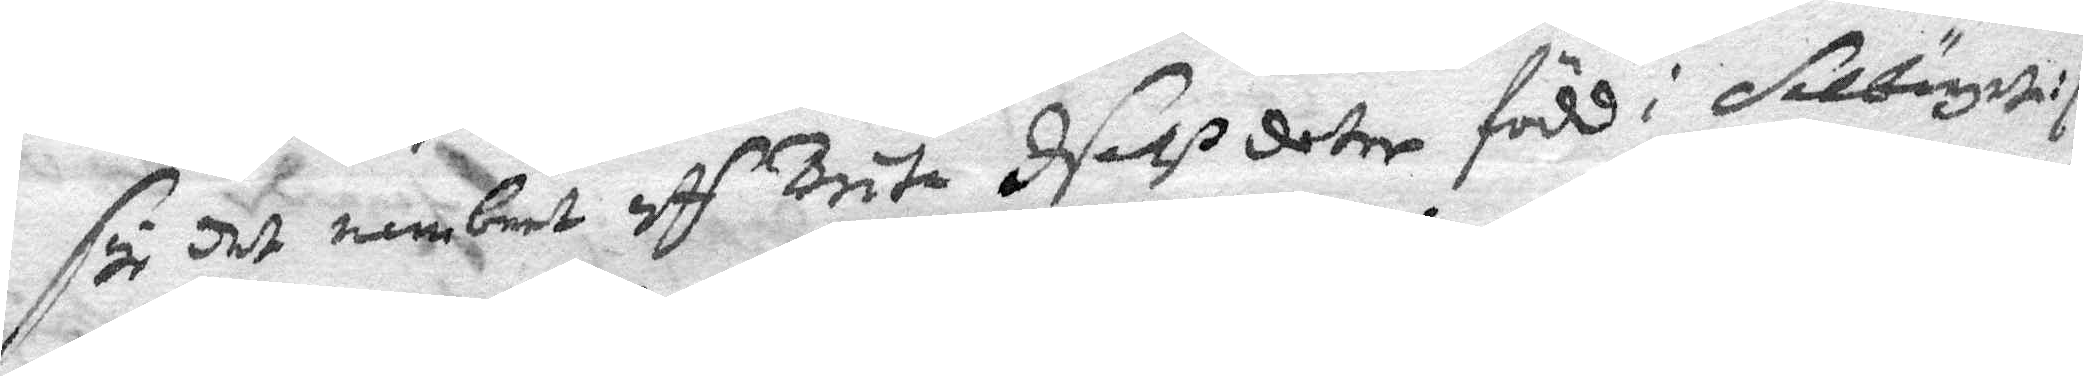digh det nembeet aff Brita Isakßdoter född i Selbärgia :/
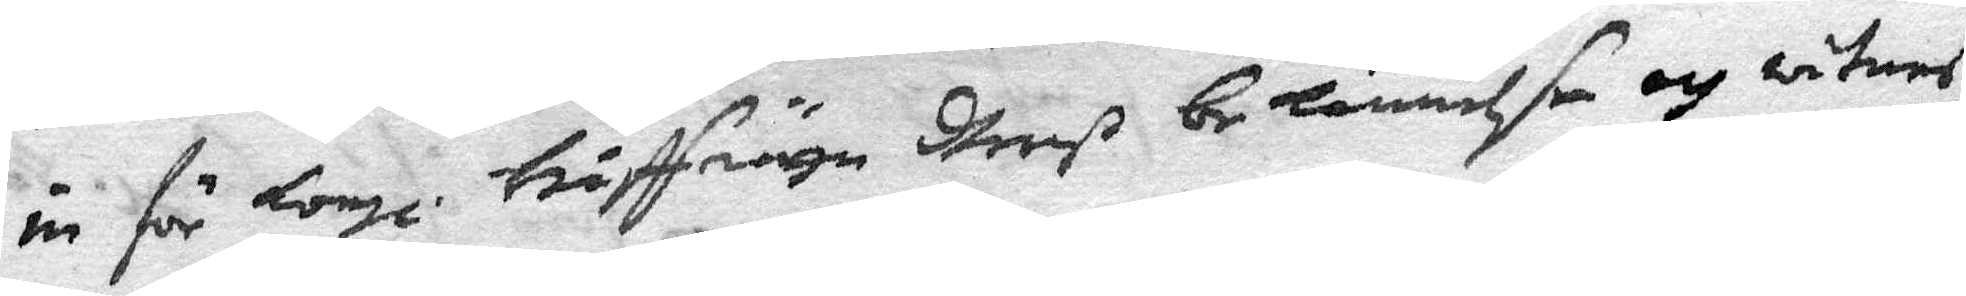in för Kongl. Håffrätten dheeß bekännelße och witnes¬
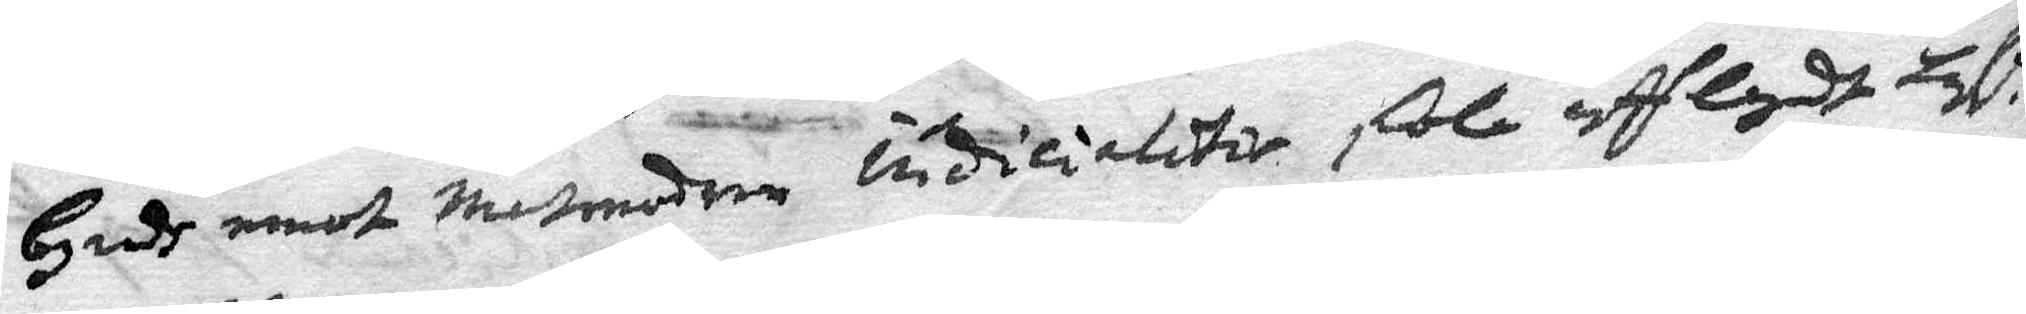byrdh emot matmodern indicialitir skola afflagdt tal
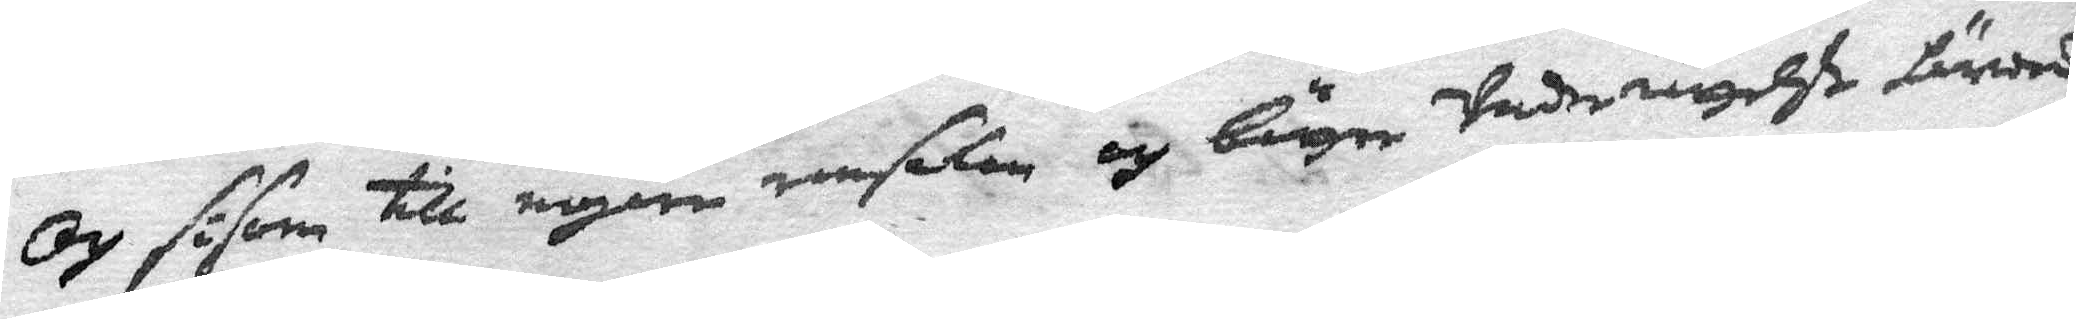och såsom till nogen ransakan och bättre Underrättelse härwedh
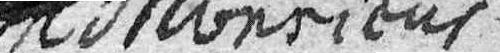A Moericus
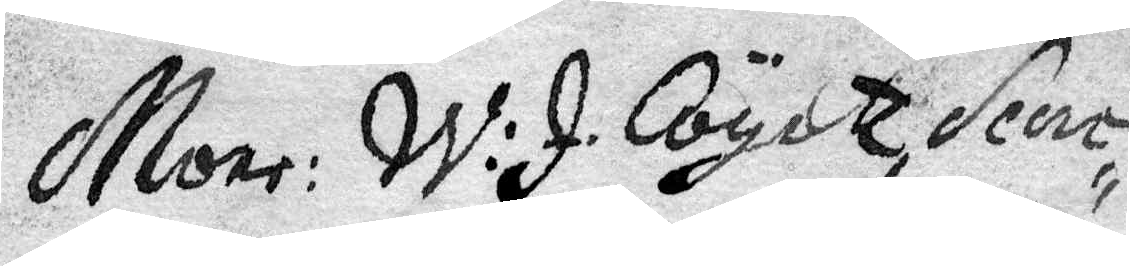Moer: W: J Coyett, Secre¬
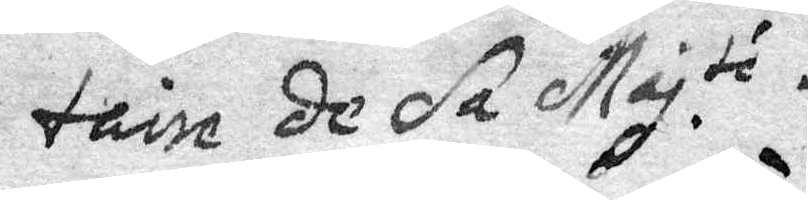taire de sa Maj.té
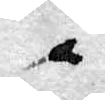å
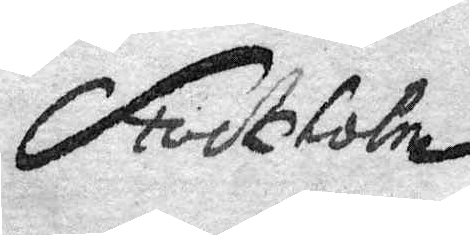Stockholm
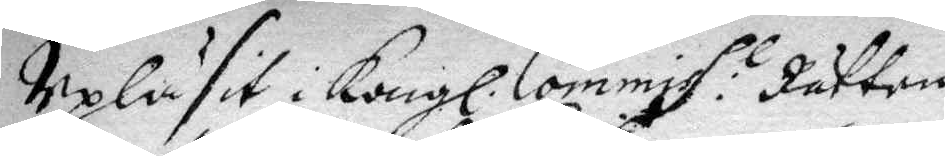Upläsit i Kongl. Commiss: l Rätten
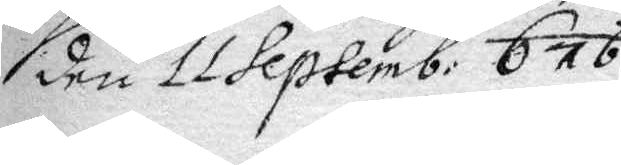den 11 Septemb: 676.
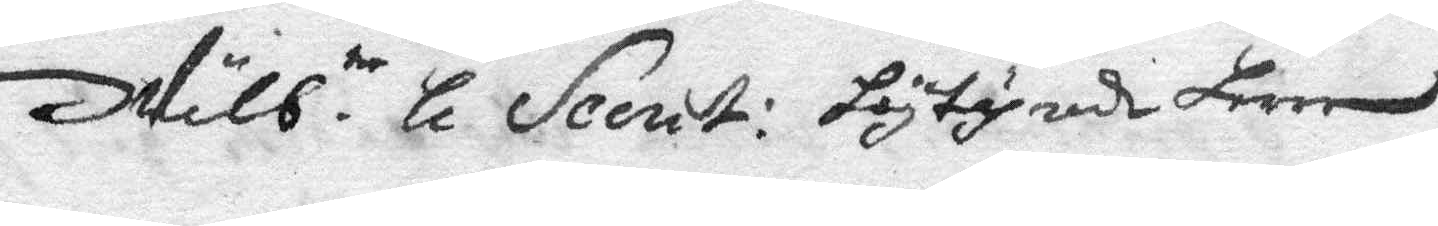Wälb.te Hl Secret: Högtährade Herre
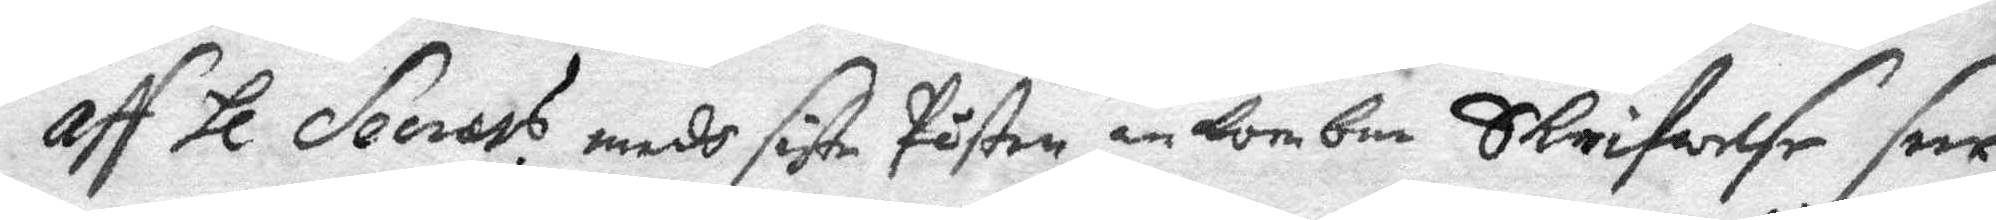Aff Hl Secrets. medh siste Påsten ankombne Skrifwelse seer
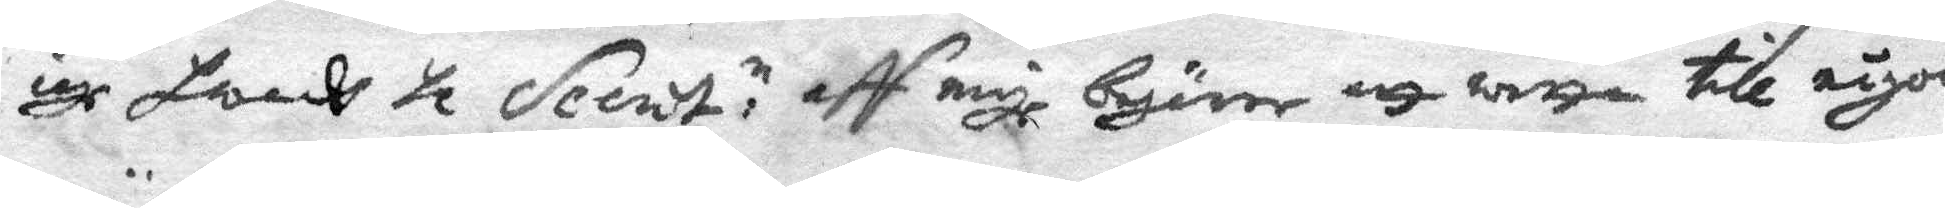iag hwadh Hl Secret: n aff mig begärer att wetta till någon
